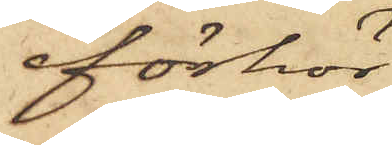förhör
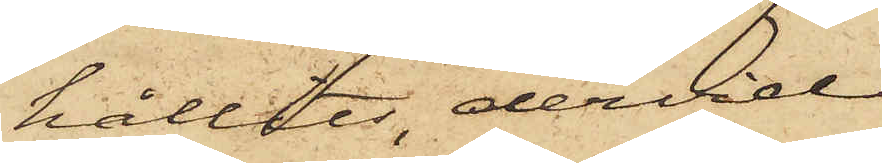hållits, dervid
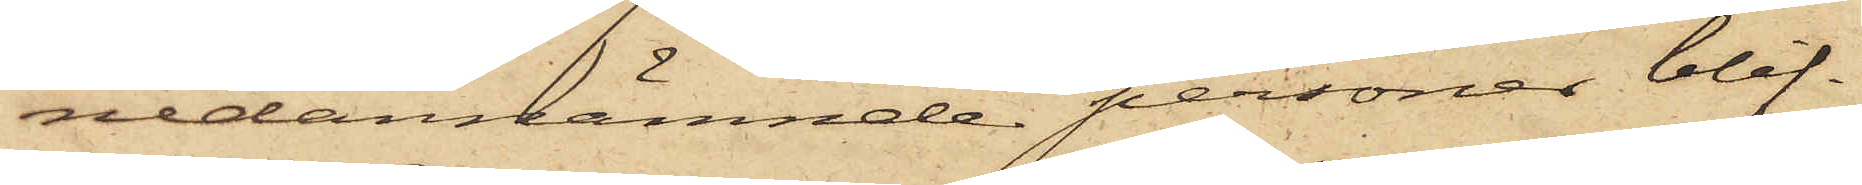nedannämnde personer blif¬
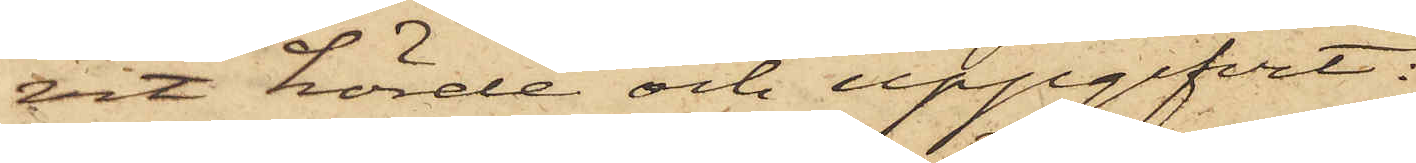vit hörde och uppgifvit:
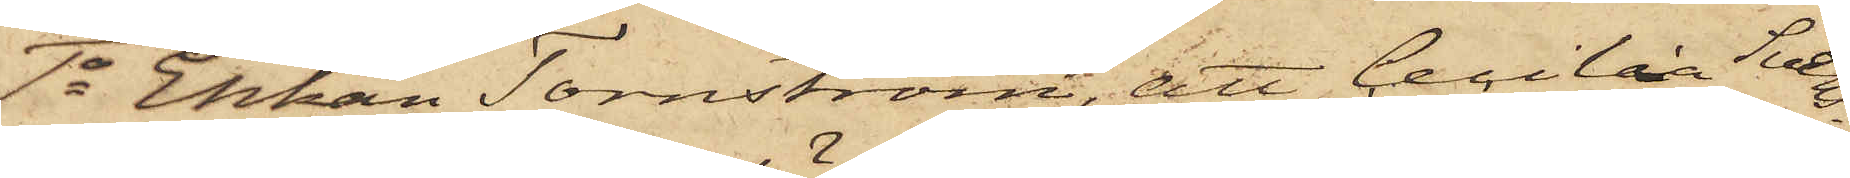1o Enkan Törnström, att Cecilia Sven¬
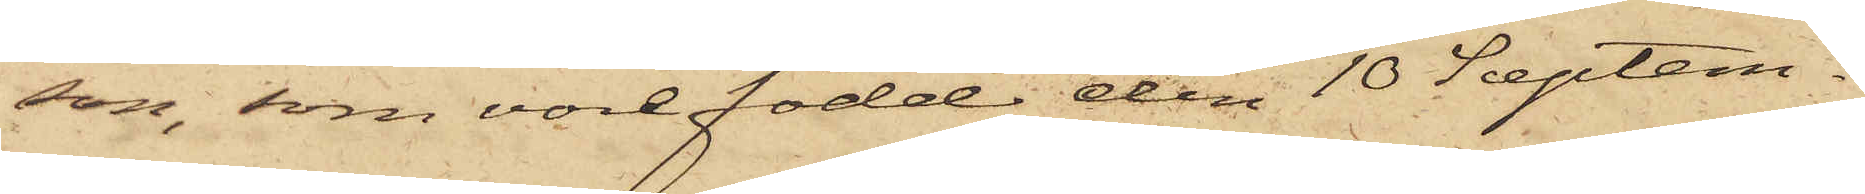son, som vore född den 10 Septem¬
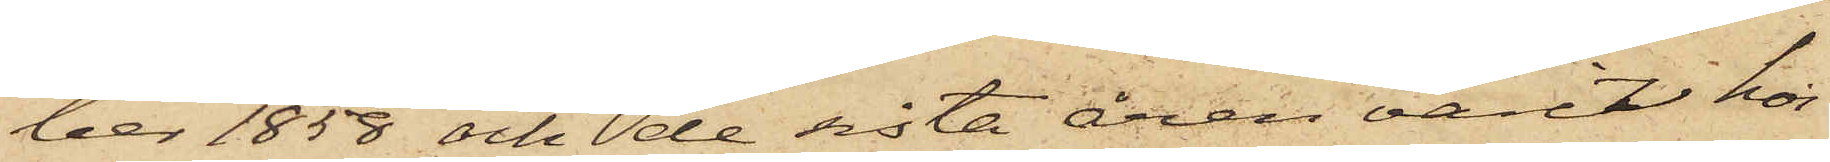ber 1858 och de sista åren varit hos
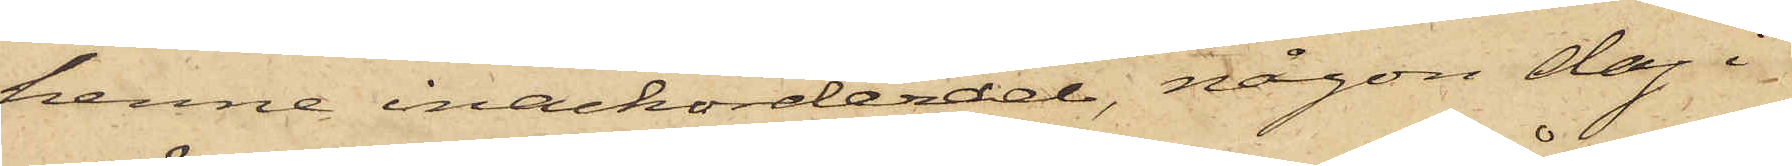henne inackorderad, någon dag i
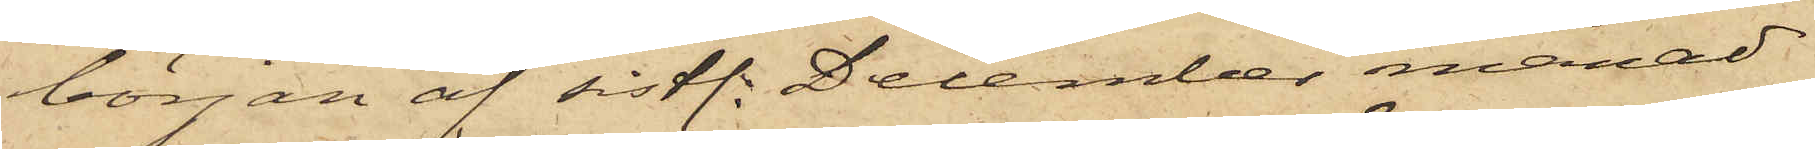början af sistl. December månad
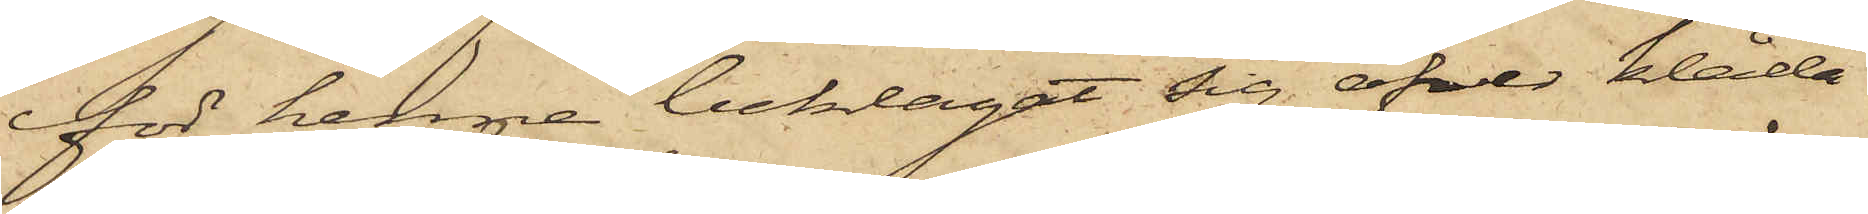för henne beklagat sig öfver klåda
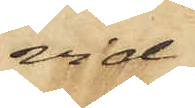vid
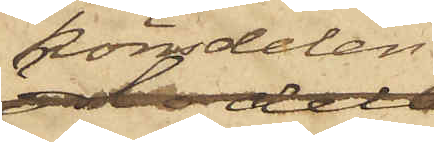könsdelar;
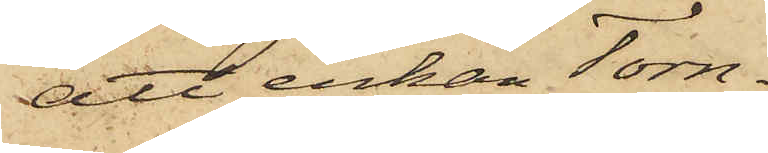att enkan Torn¬
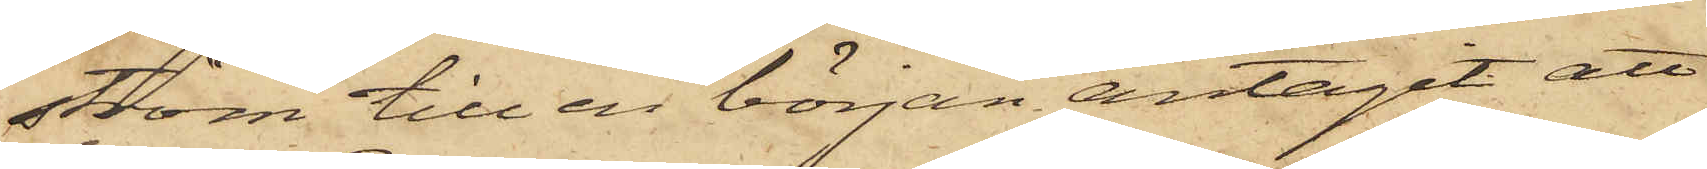ström till en början antagit att
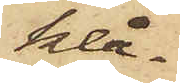klå¬
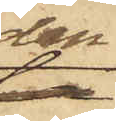dan
